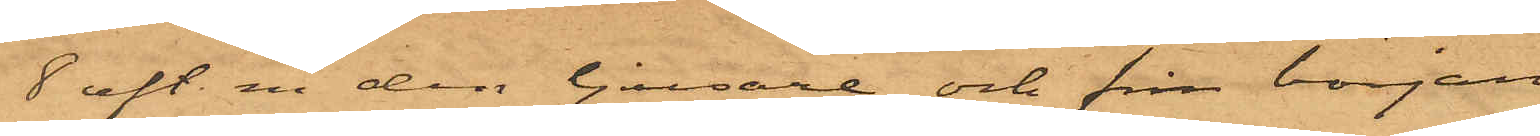8 eft. m. den ljusare och från början
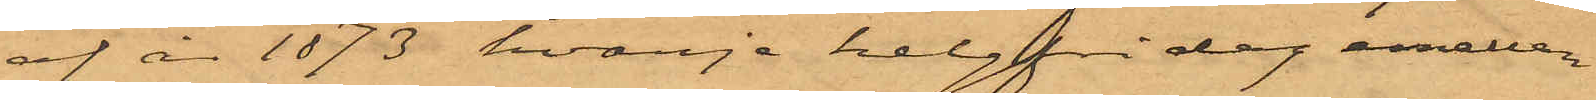af år 1873 hvarje helgfri dag emellan¬
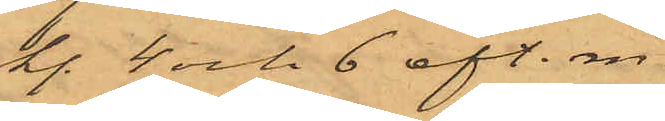kl. 4 och 6 eft. m.
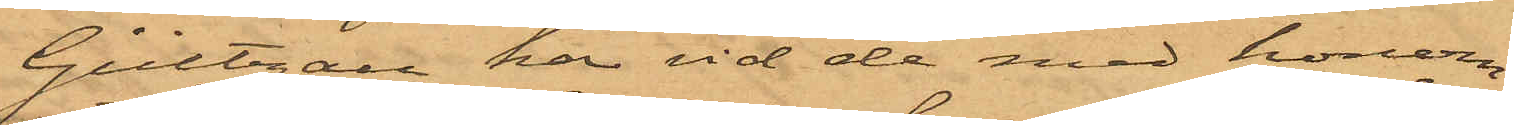Gültzau har vid de med honom
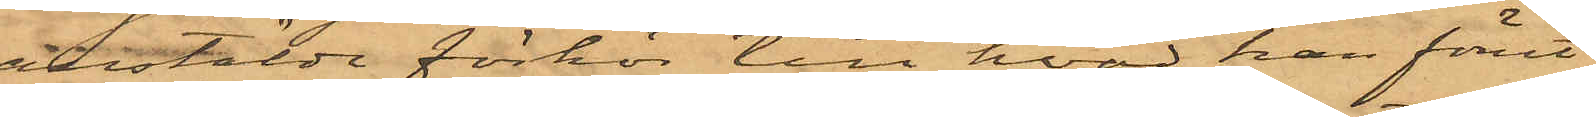anstälde förhör till hvad han förut
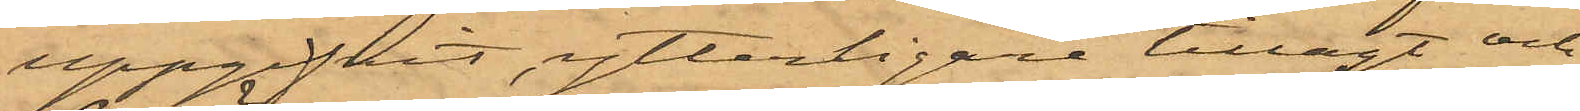uppgifvit ytterligare tillagt och
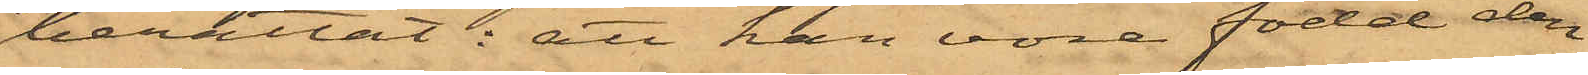berättat: att han vore född den
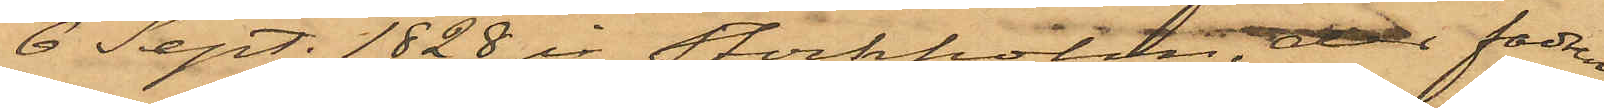6 Sept. 1828 i Stockholm, der fadern
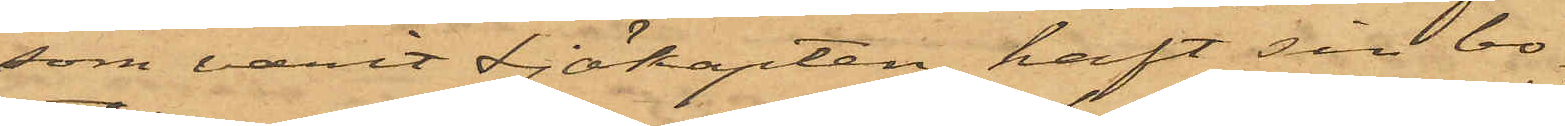som varit Sjökapten, haft sin bo¬
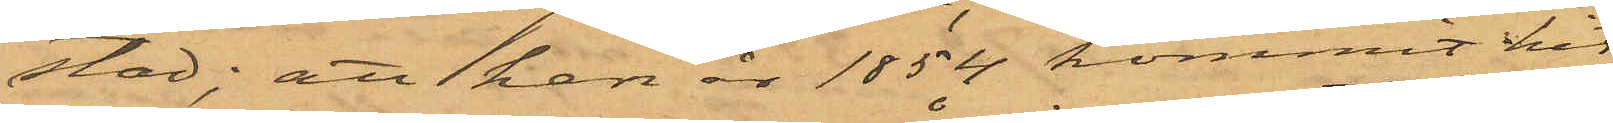stad; att han år 1854 kommit hit
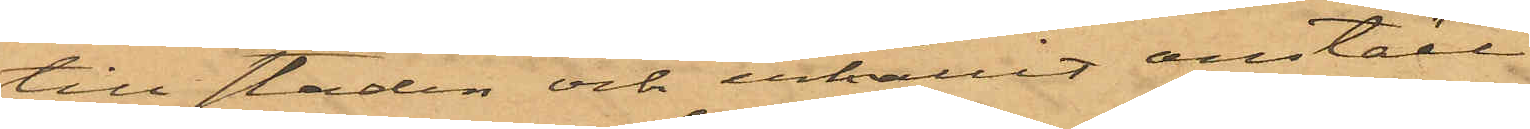till staden och erhållit anställ¬
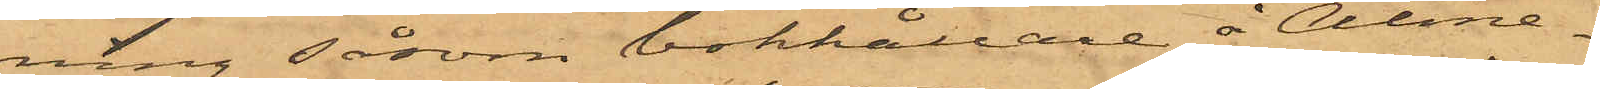ning såsom bokhållare å Alme¬
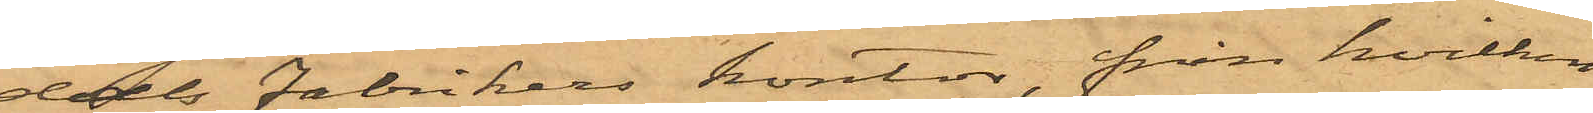dals fabrikers kontor, från hvilken
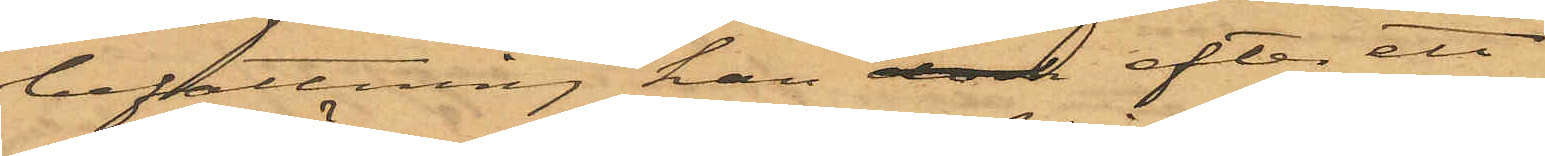befattning han ok efter ett
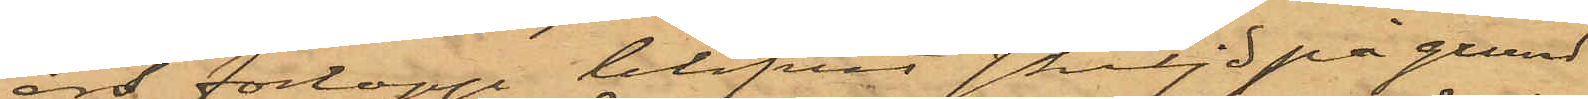års förlopp blifvit skiljd på grund
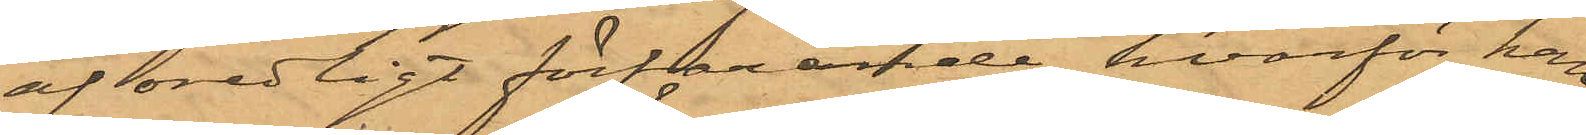af oredligt förfarande, hvarför han
